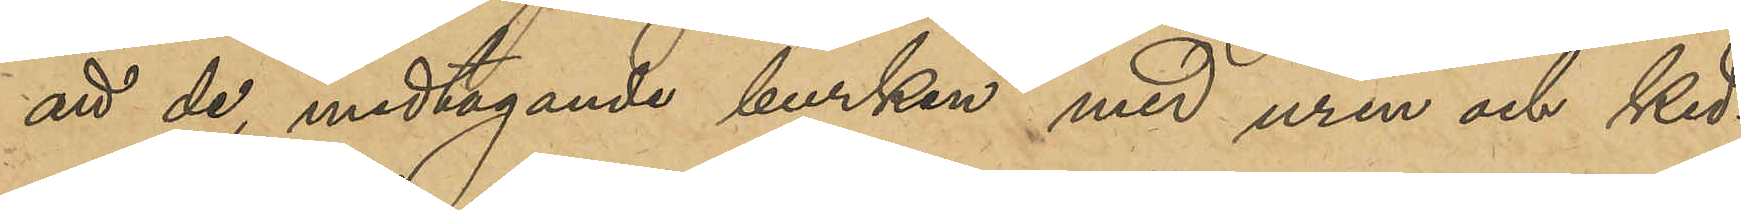att de, medtagande burken med uren och ked¬
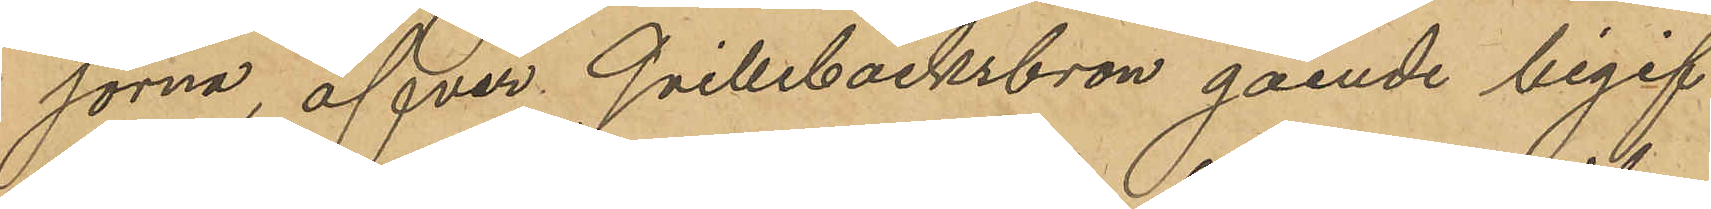jorna, öfver Qvillebäcksbron gående begif¬
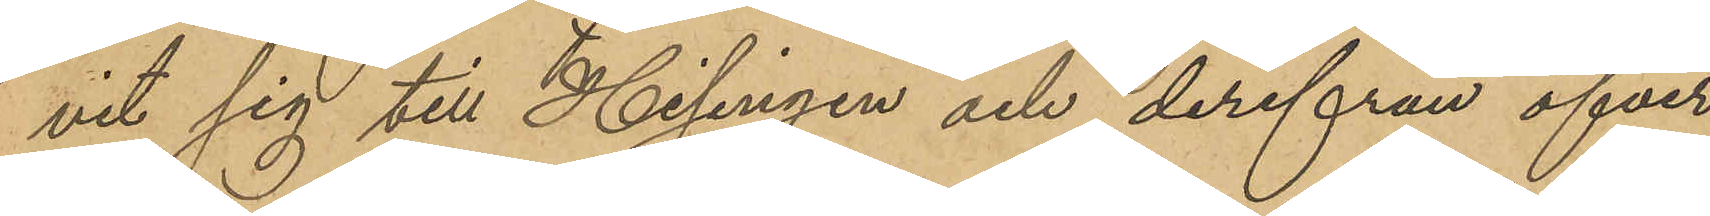vit sig till Hisingen och derifrån öfver
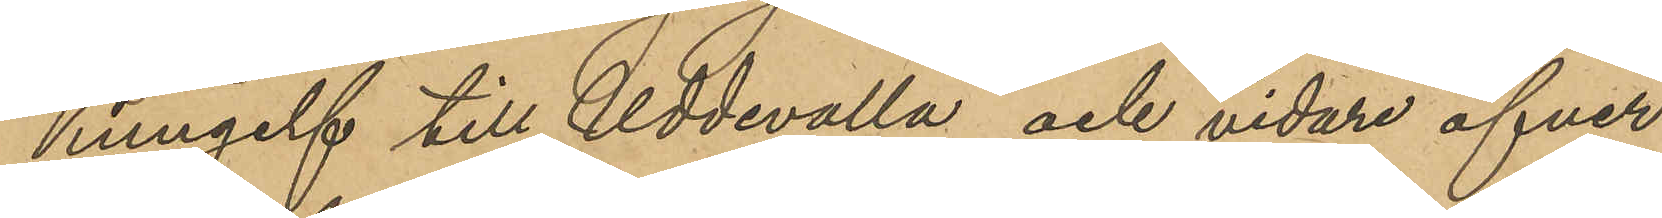Kungelf och Uddevalla och vidare öfver
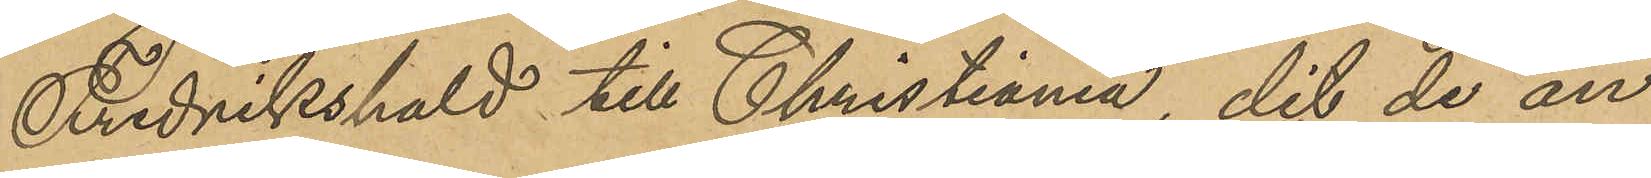Fredrikshald till Christiania, dit de an¬
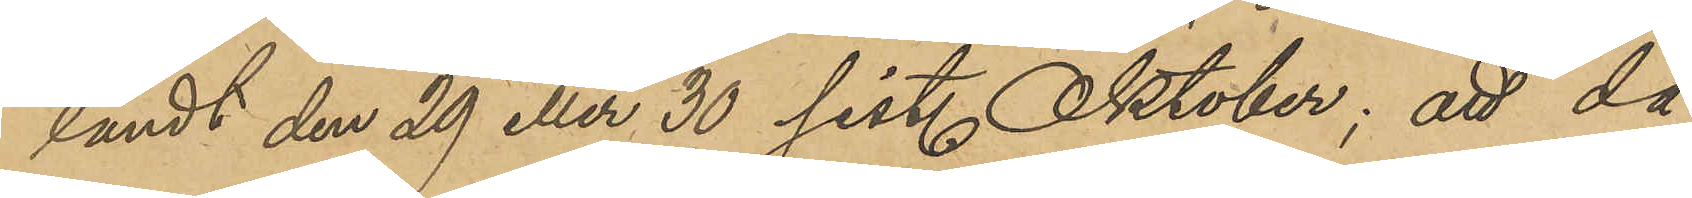ländt den 29 eller 30 sist. Oktober; att då
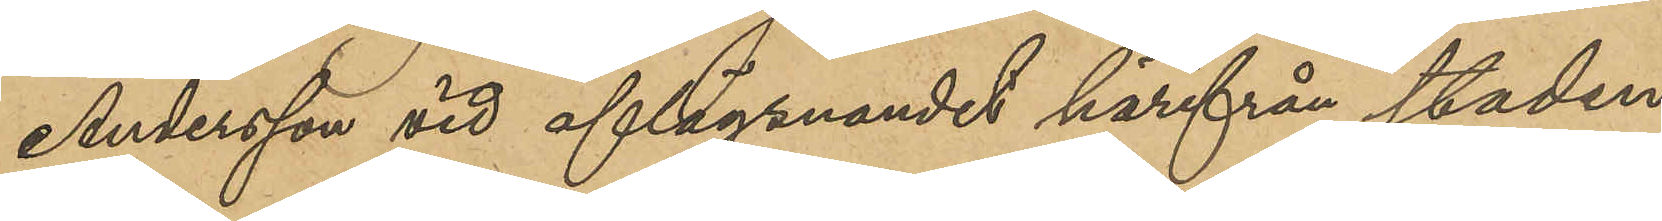Andersson vid aflägsnandet härifrån staden
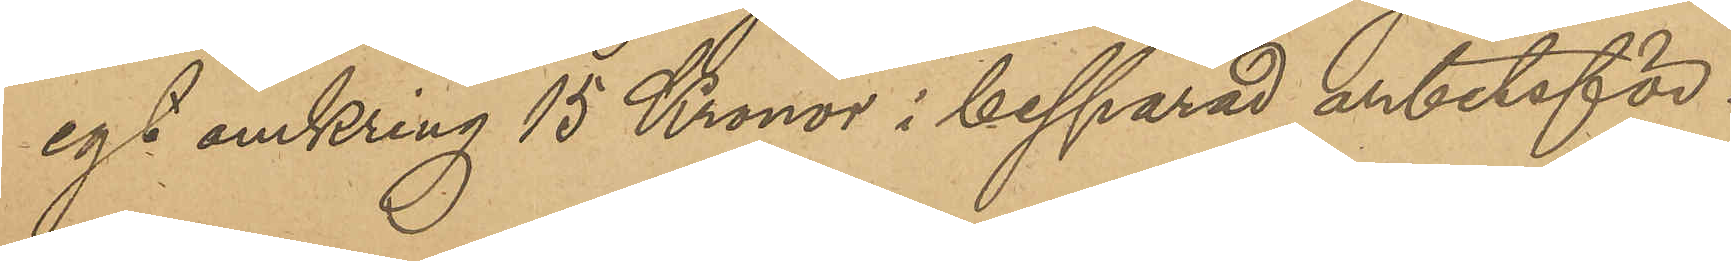egt omkring 15 Kronor i besparad arbetsför¬
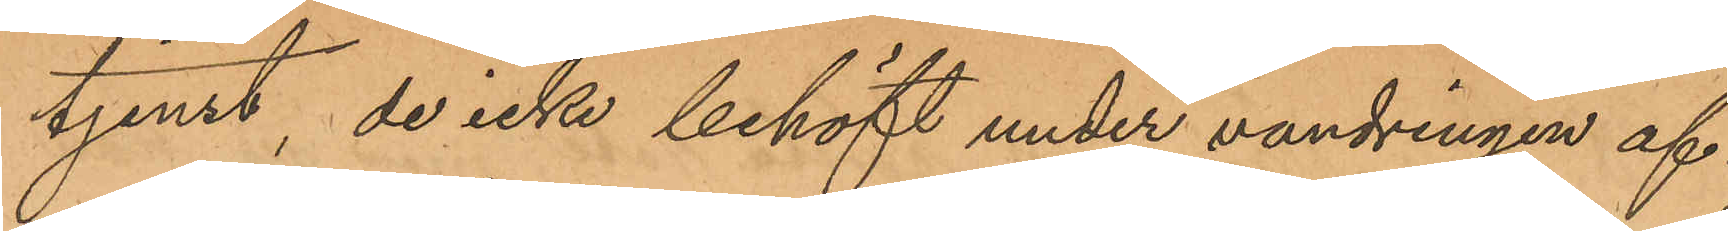tjenst, de icke behöft under vandringen af¬
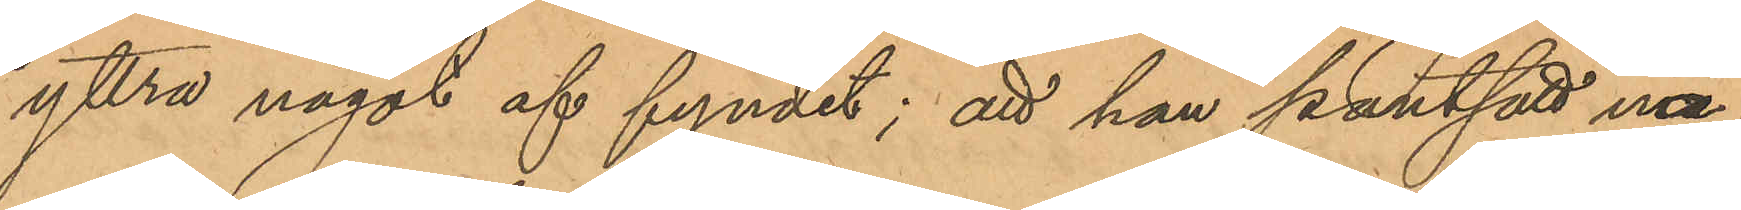yttra något af fyndet; att han pantsatt nå¬
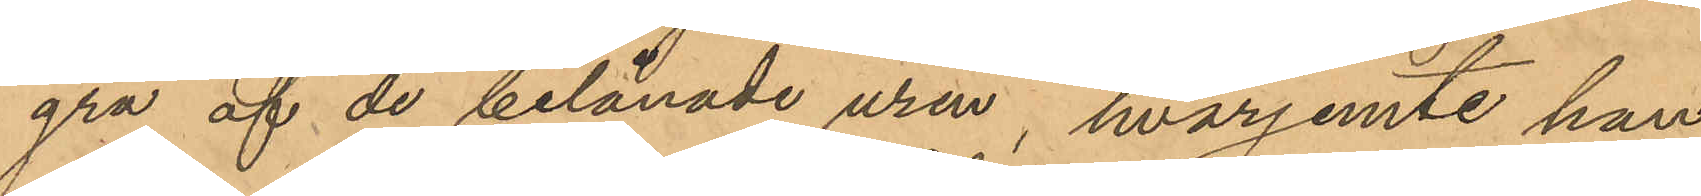gra af de belånade uren, hvarjemte han
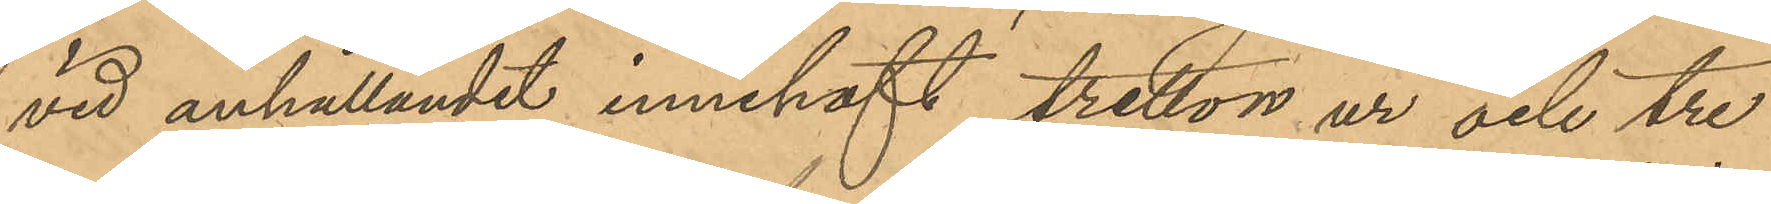vid anhållandet innehaft tretton ur och tre
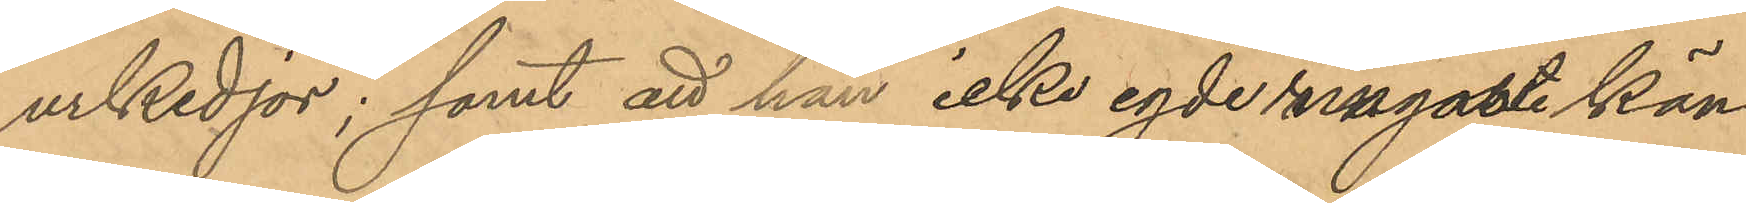urkedjor; samt att han icke egde ringaste kän¬
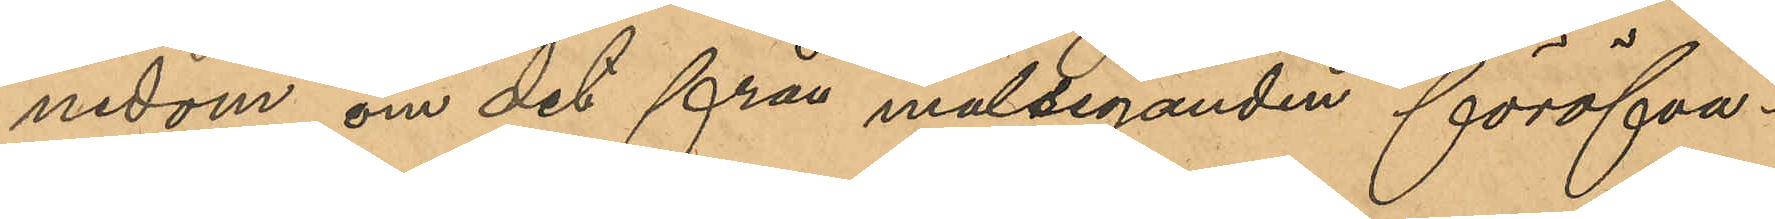nedom om det från målseganden föröfva¬
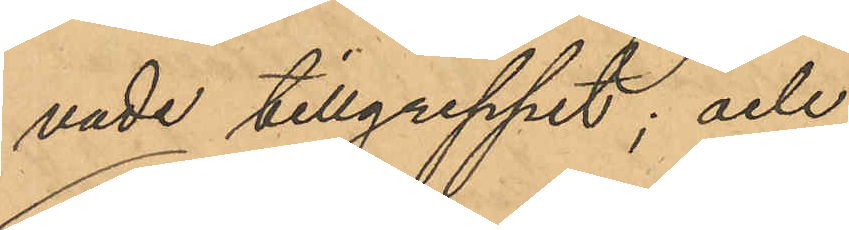vade tillgreppet; och
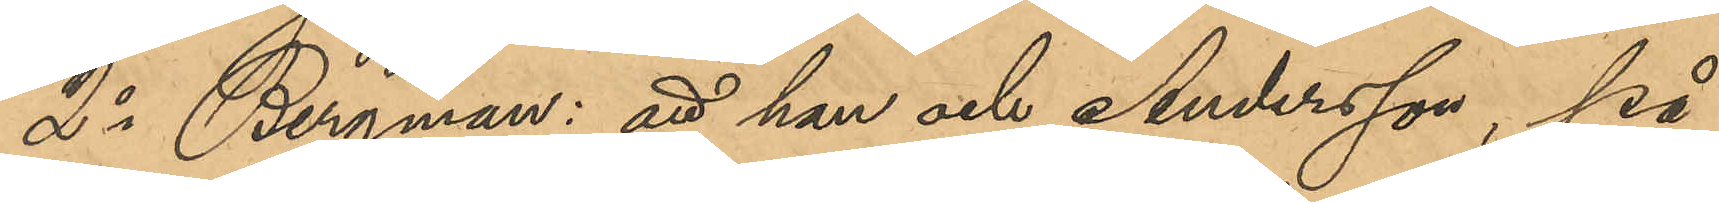2o Bergman: att han och Andersson, på
